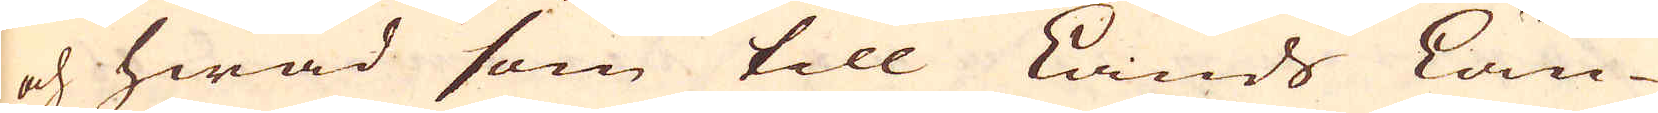och hwad som till Lands Läng-
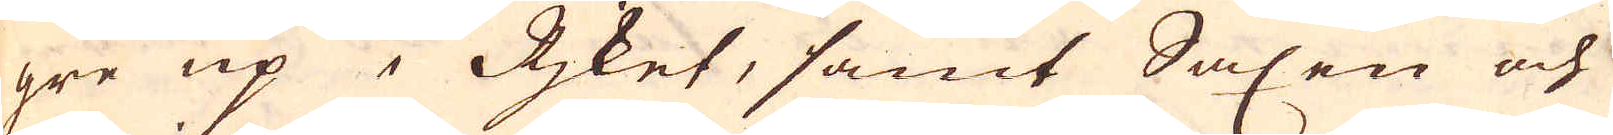gre up i Rjket, samt Saxen och
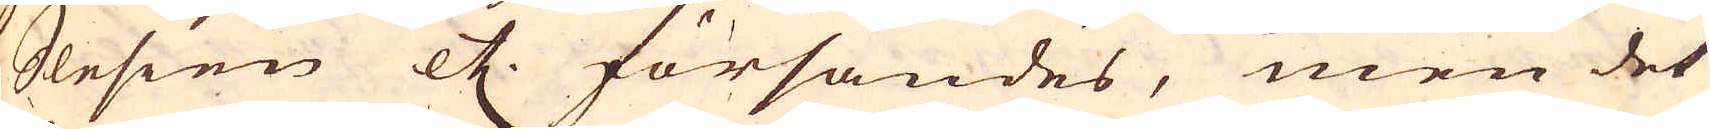Slesien etc. försändes, men det
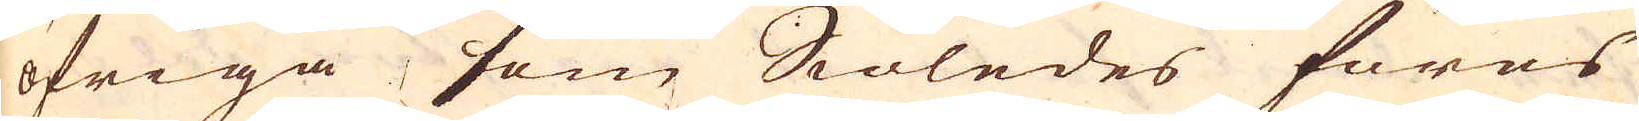öfriga, som Siöledes föras
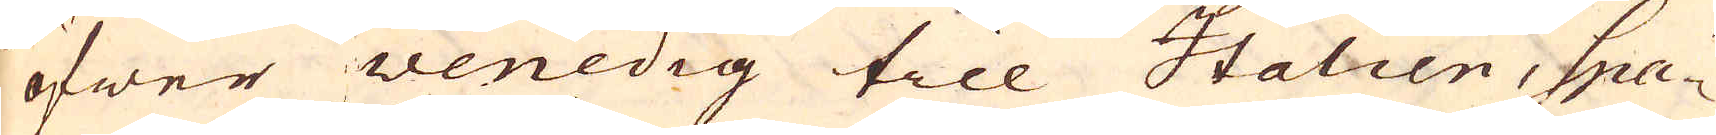öfwer Venedig till Italien, Spa-
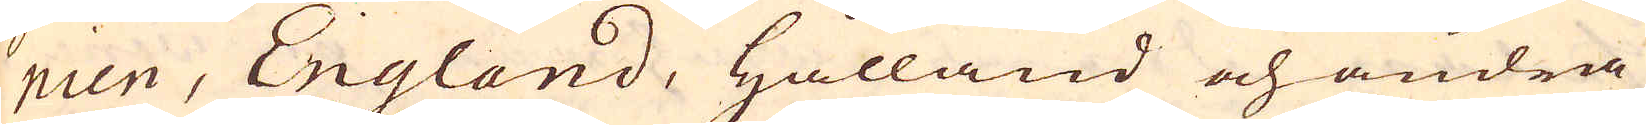nien, England, Hålland och andra
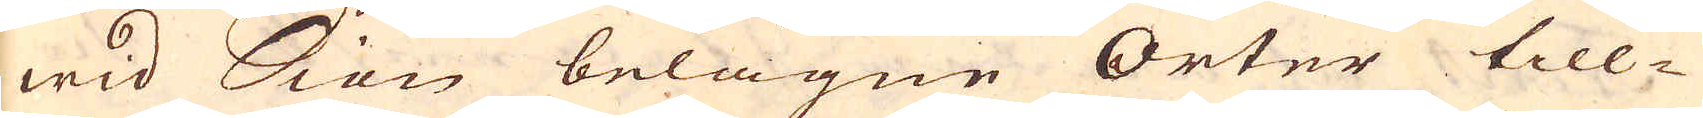wid Siön belägne Orter till-
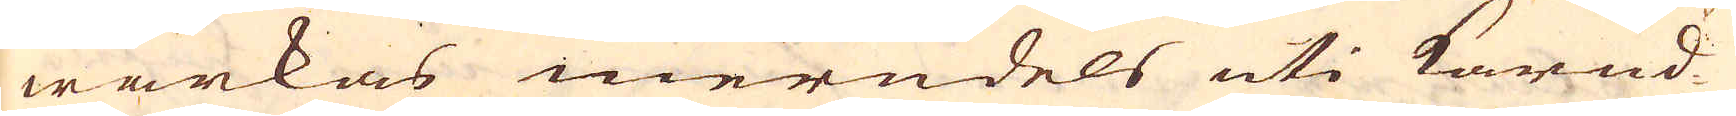wärkas merndels uti Karnd-
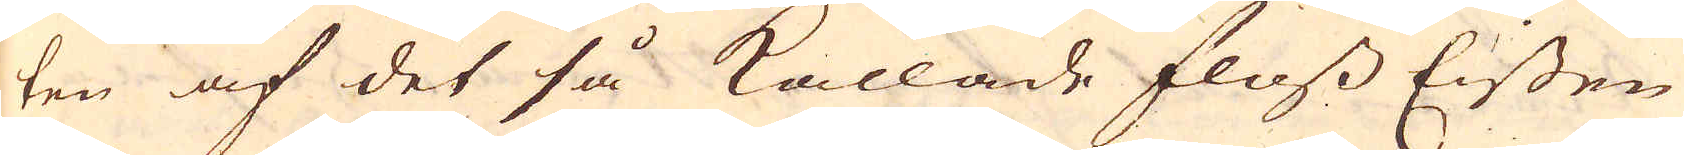ten af det så kallade Floss Eissen
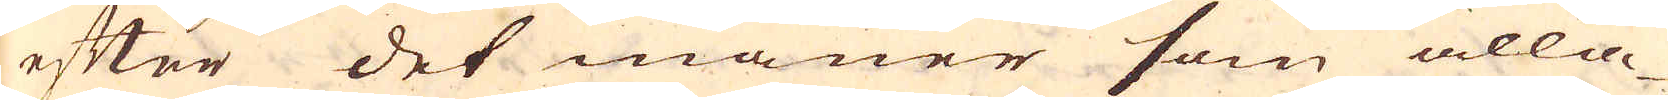efter det maner som alla
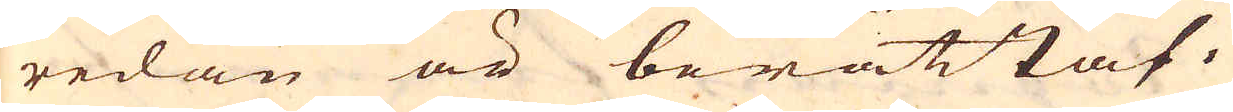redan är berättat.
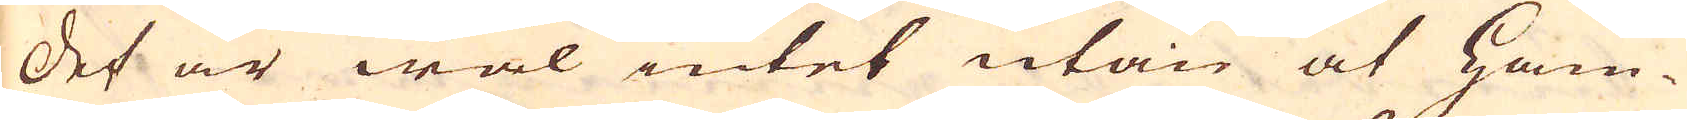Det är wäl intet utan at Ham-
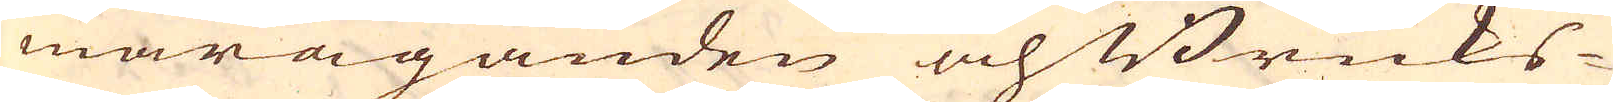maräganden och Bruks-
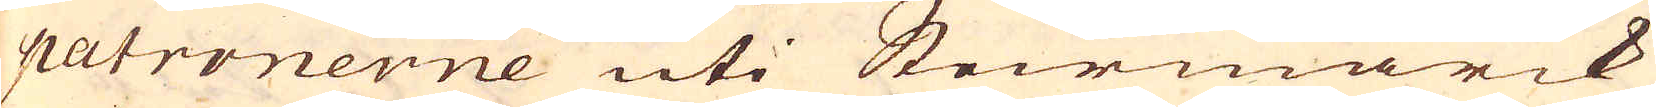patronerne uti Steirmarck
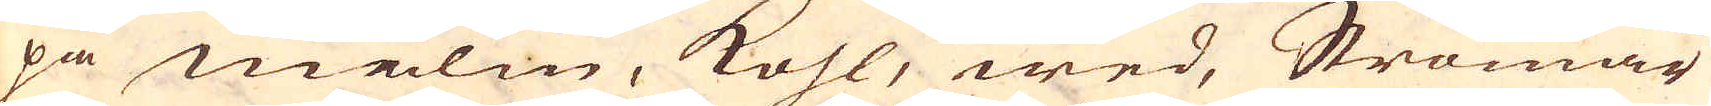på malm, kohl, wed, Strömar
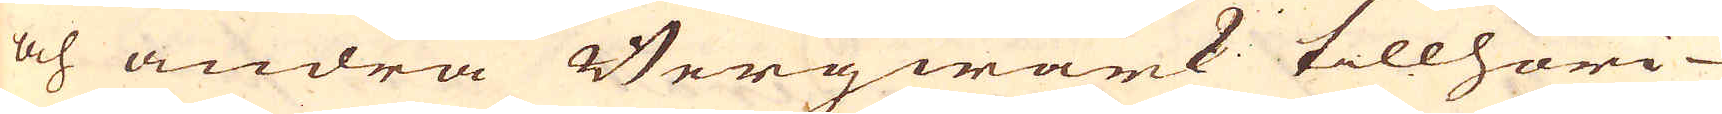och andra Bergwärk tillhöri-
